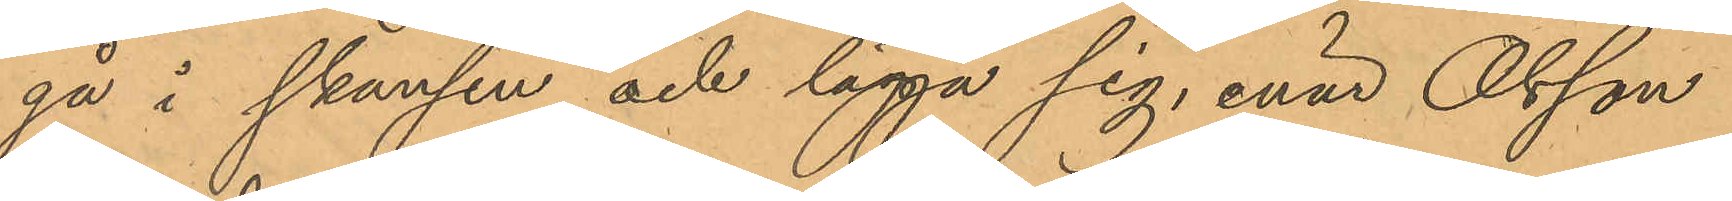gå i skansen och lägga sig, enär Olsson
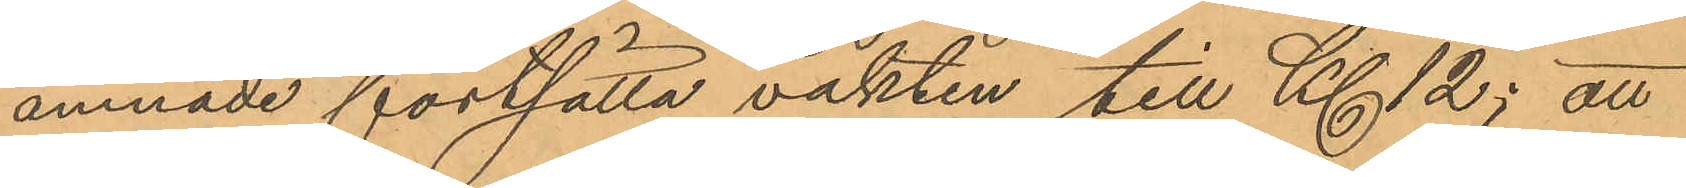ämnade fortsätta vakten till Kl 12; att
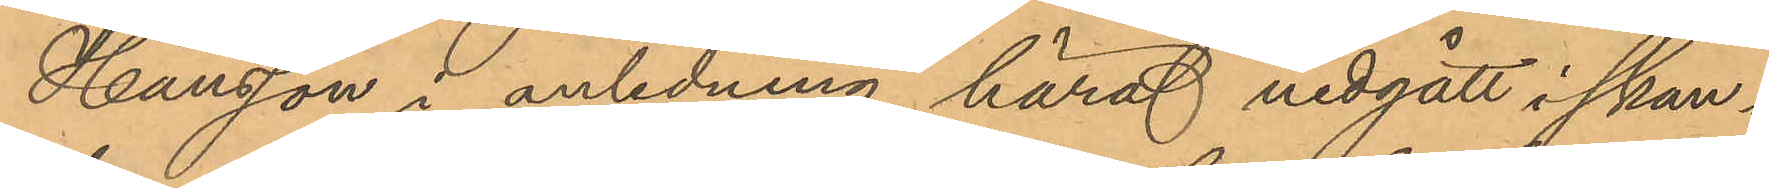Hansson i anledning häraf nedgått i skan¬
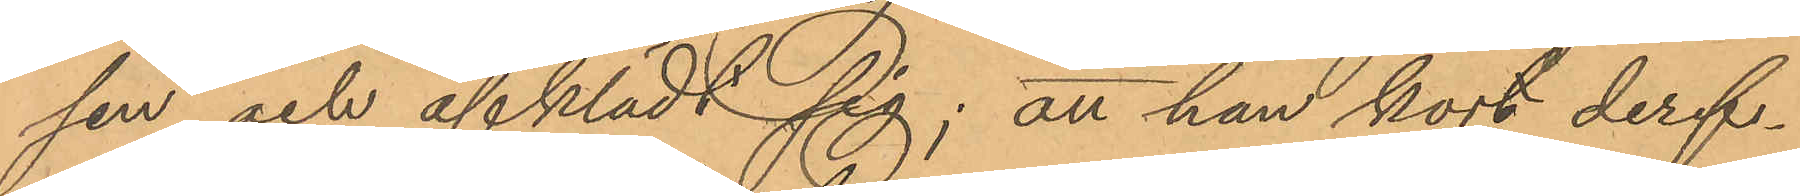sen och afklädt sig; att han kort deref¬
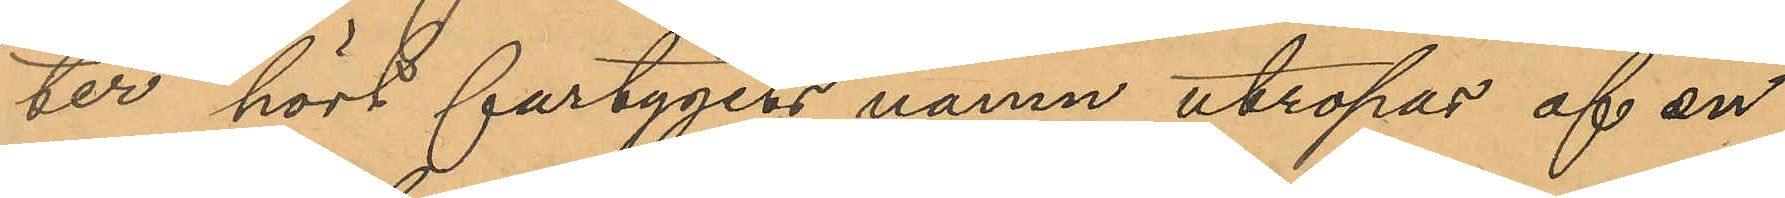ter hört fartygets namn utropas af en
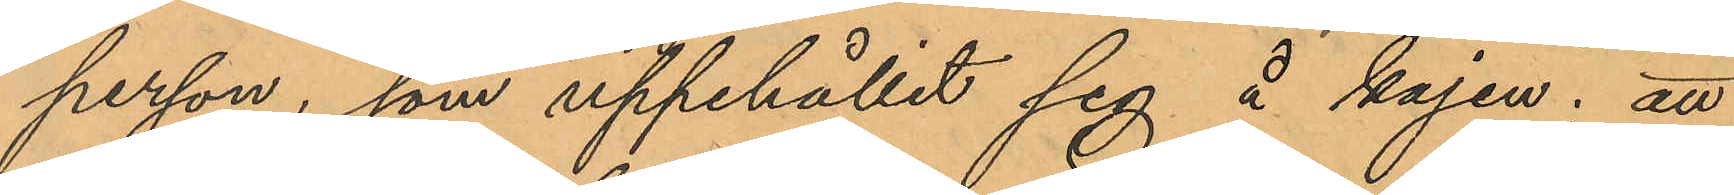person, som uppehållit sig å kajen; att
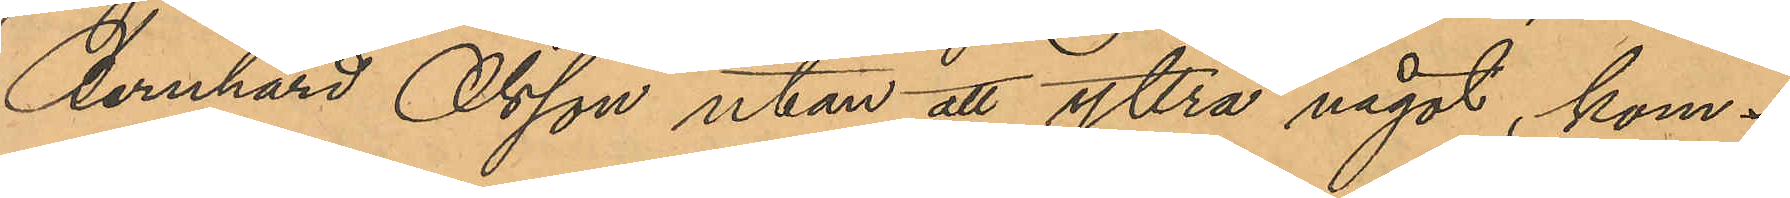Bernhard Olsson utan att yttra något, kom¬
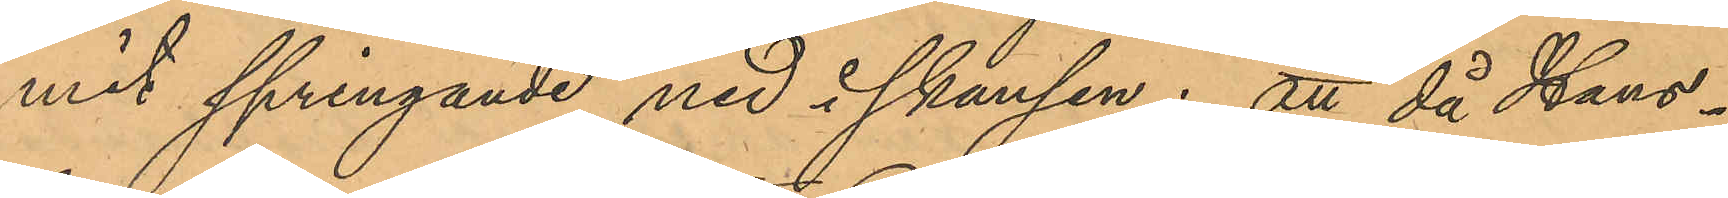mit springande ned i skansen; att då Hans¬
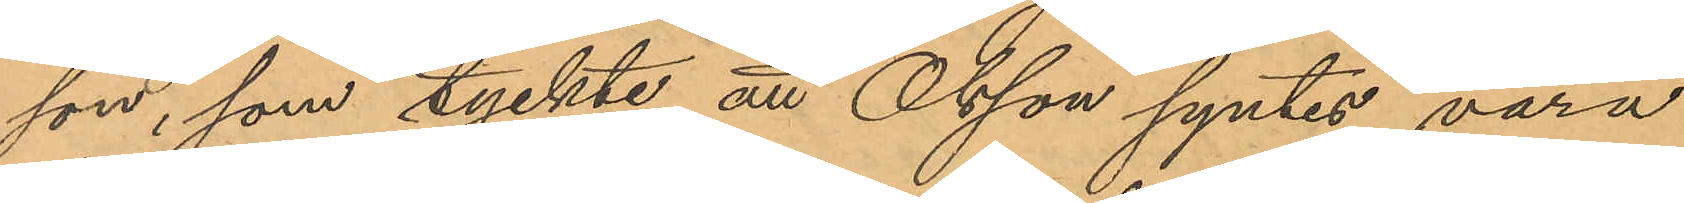son, som tyckte att Olsson syntes vara
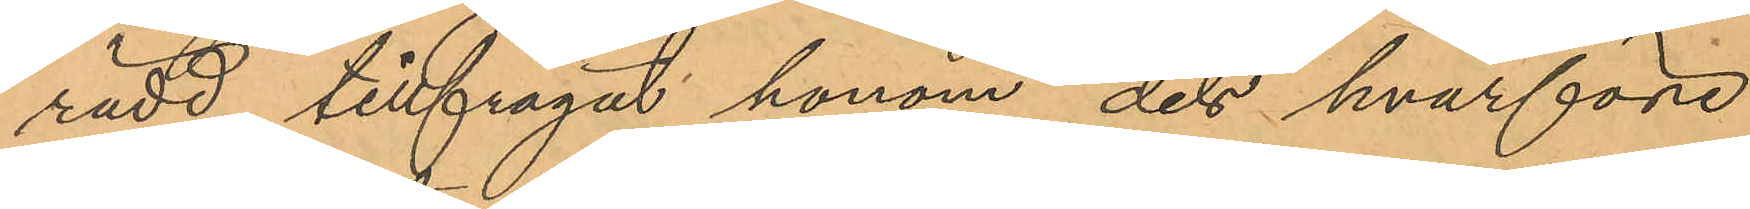rädd, tillfrågat honom dels hvarföre
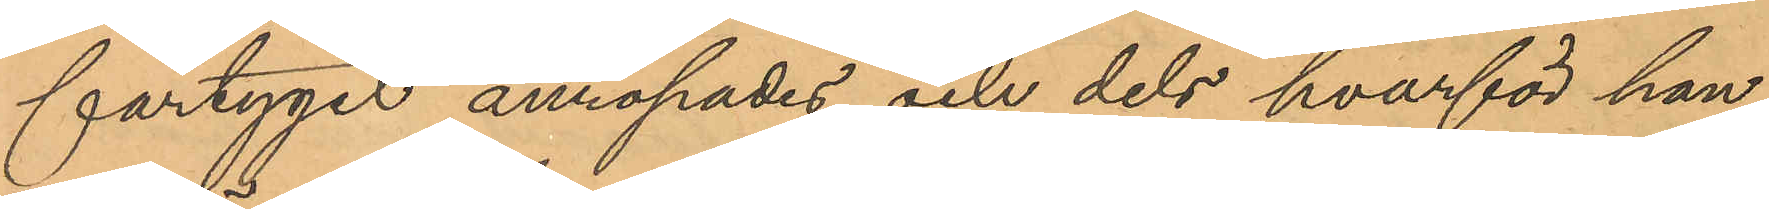fartyget anropades och dels hvarför han
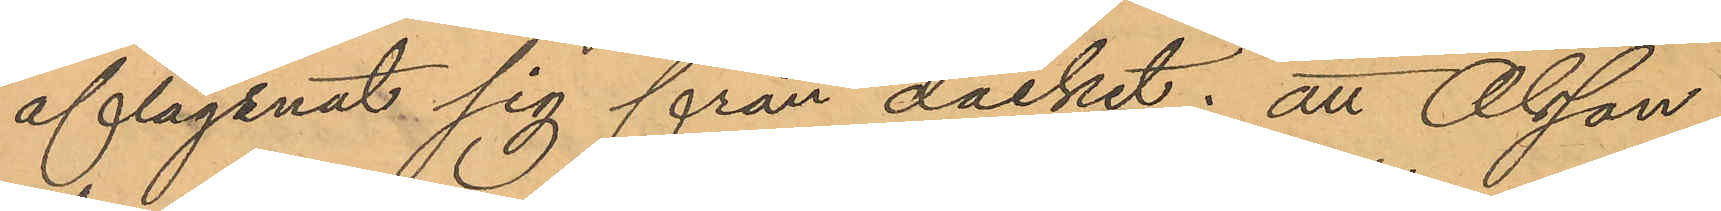aflägsnat sig från däcket; att Olsson
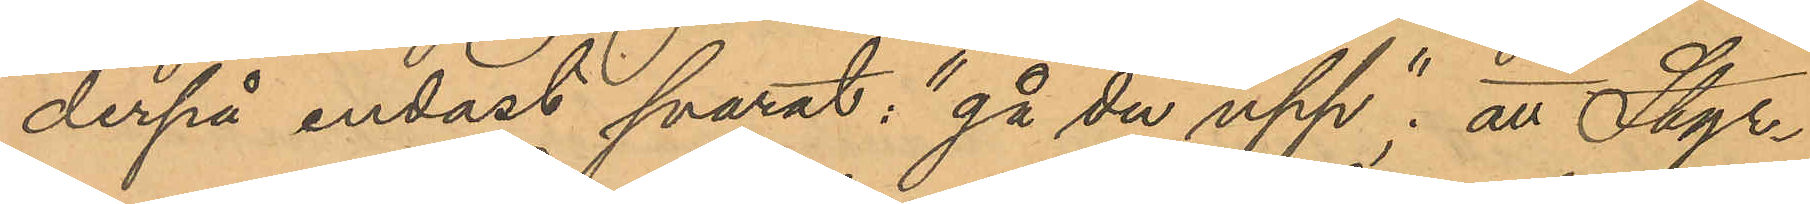derpå endast svarat: "gå du upp"; att Styr¬
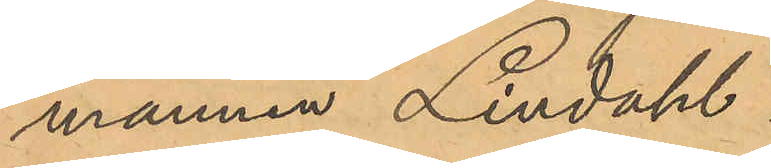mannen Lindahl
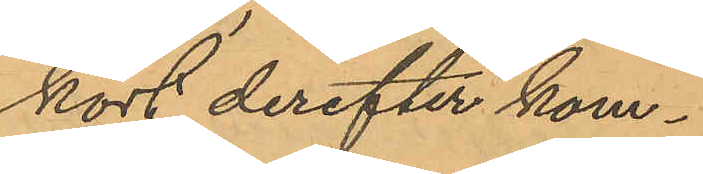kort derefter kom¬
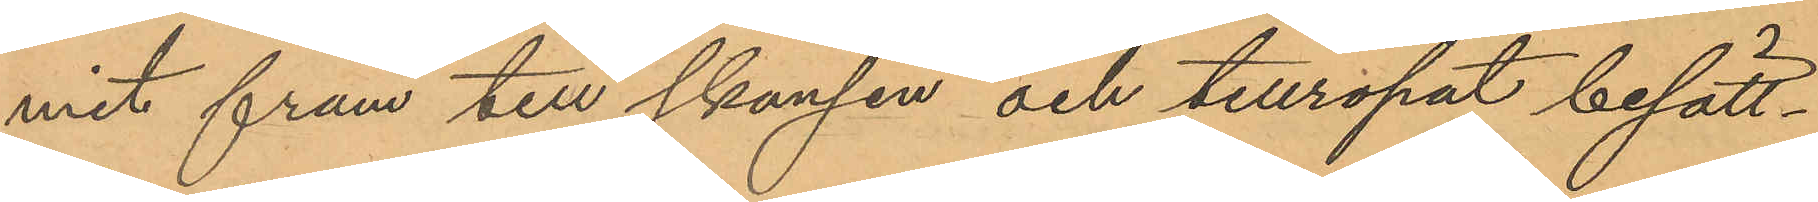mit fram till skansen och tillropat besätt¬
